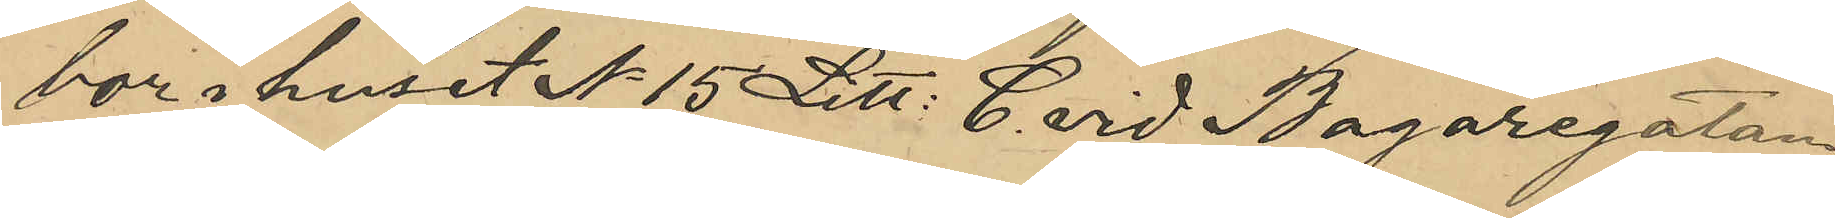bor i huset No 15 Litt. C. vid Bagaregatan
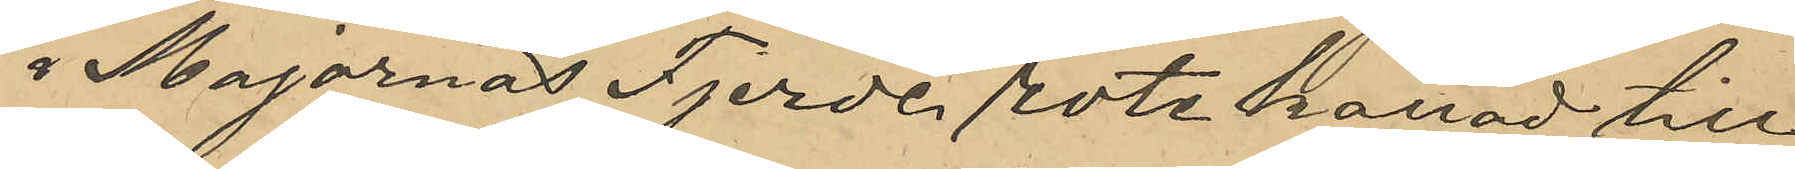i Majornas Fjerde rote kallad till
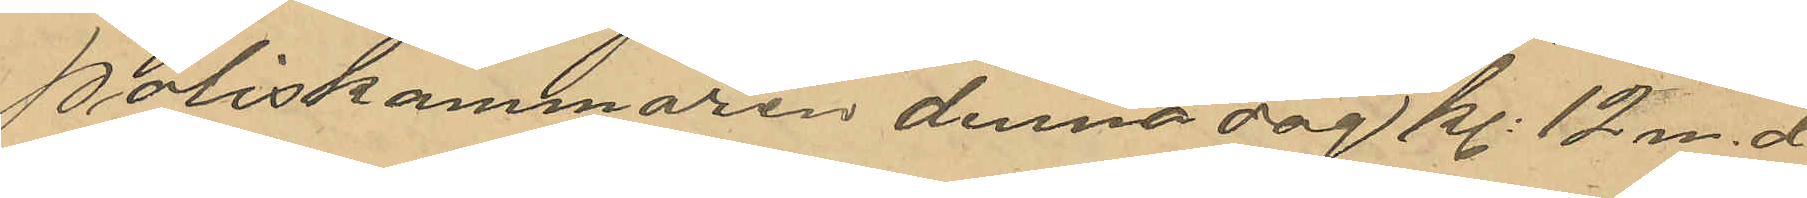Poliskammaren denna dag Kl 12 m. d.
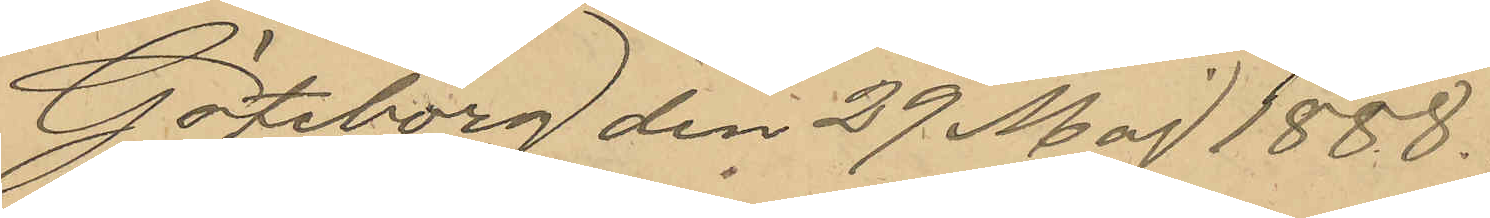Göteborg den 29 Maj 1888.
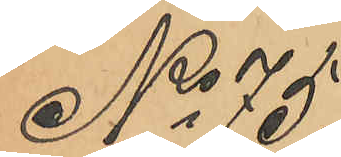No 75.
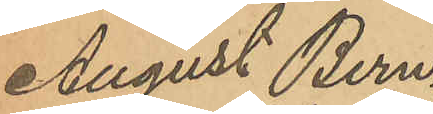August Bern¬
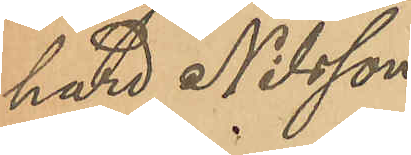hard Nilsson.
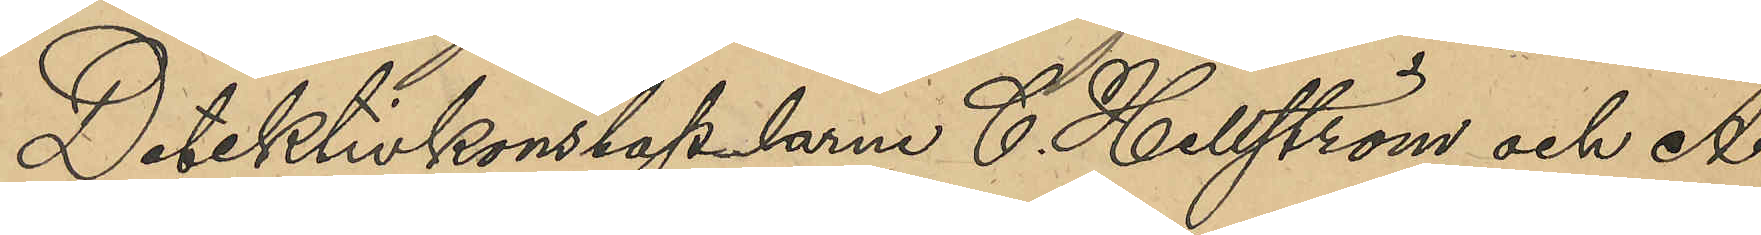Detektivkonstaplarne C. Hellström och A
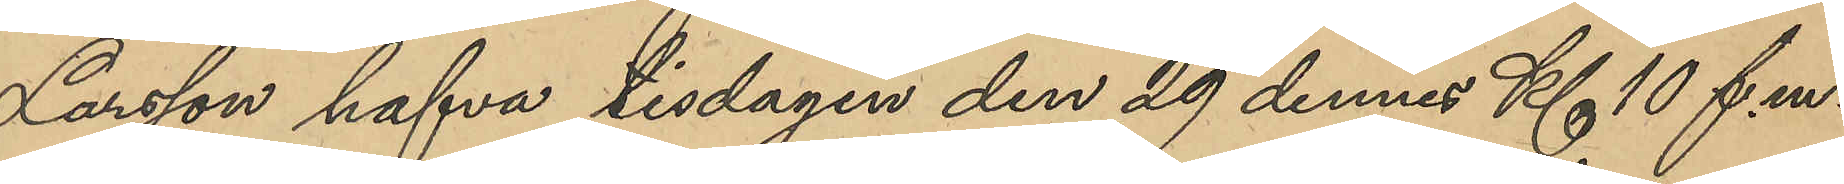Larsson hafva tisdagen den 29 dennes Kl 10 f.m.
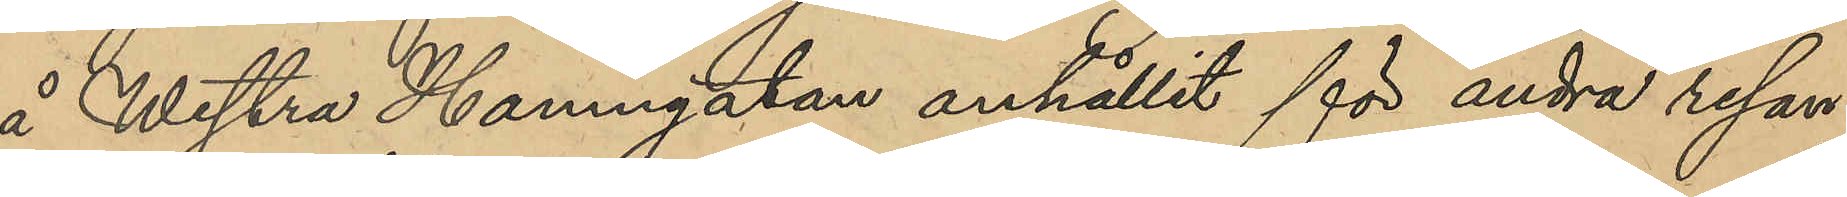å Westra Hamngatan anhållit för andra resan
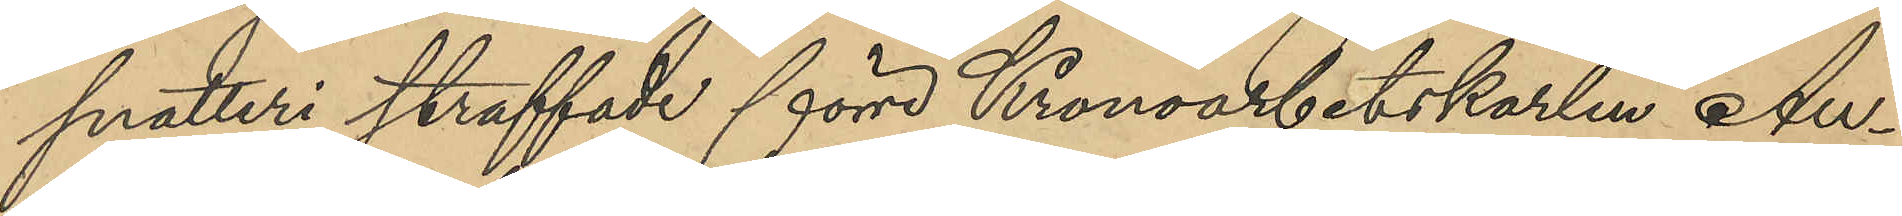snatteri straffade förre Kronoarbetskarlen Au¬
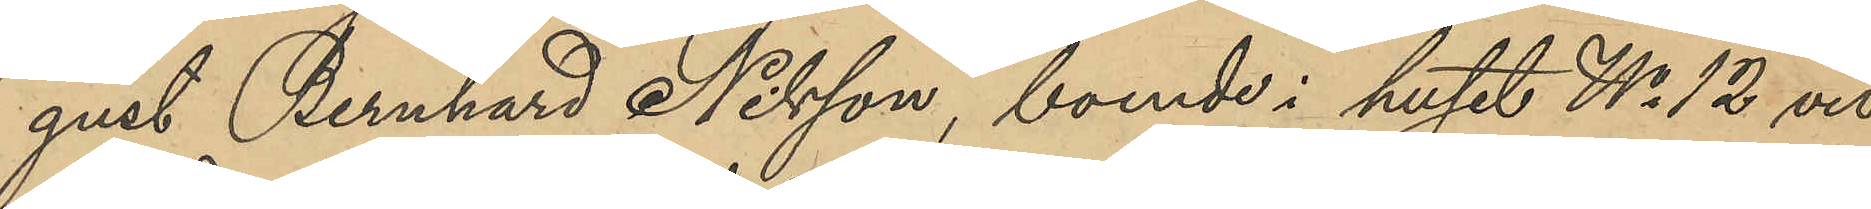gust Bernhard Nilsson, boende i huset No 12 vid
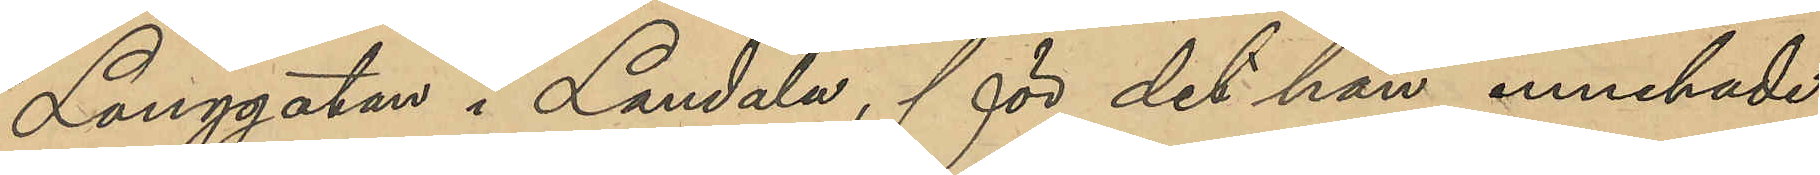Långgatan i Landala, för det han innehade
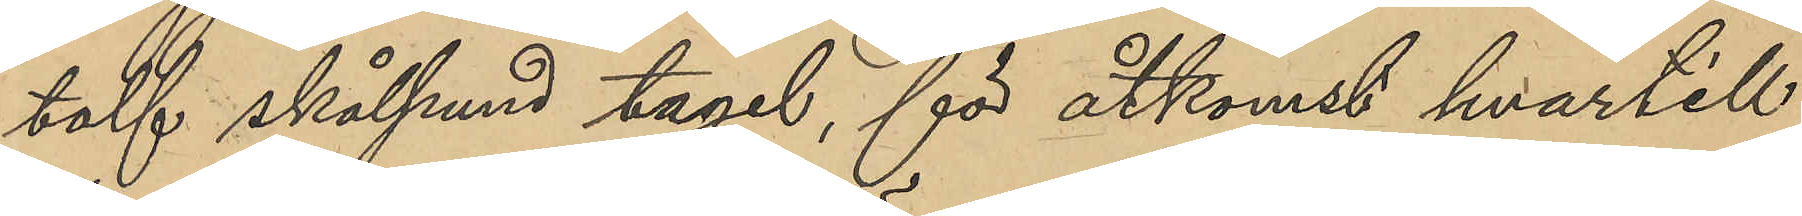tolf skålpund tagel, för åtkomst hvartill
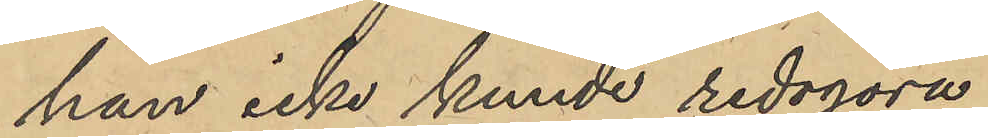han icke kunde redogöra.
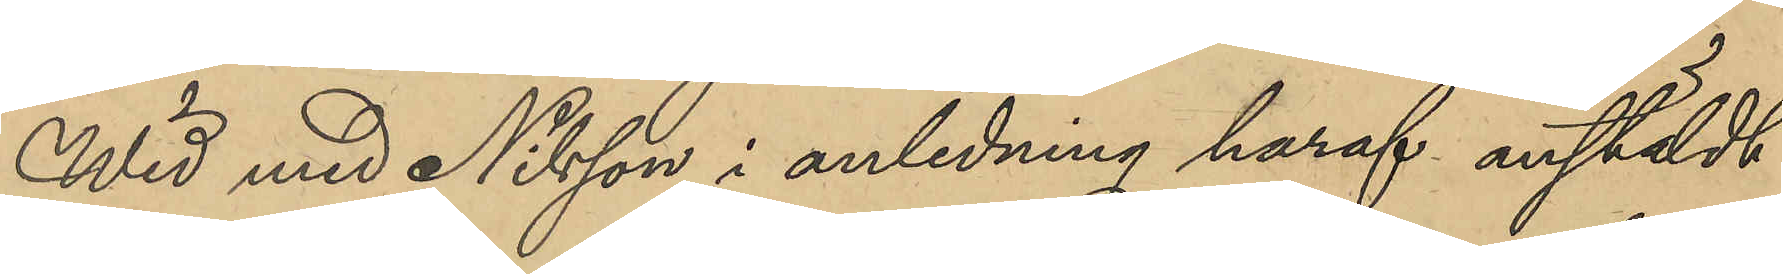Wid med Nilsson i anledning haraf anstäldt
